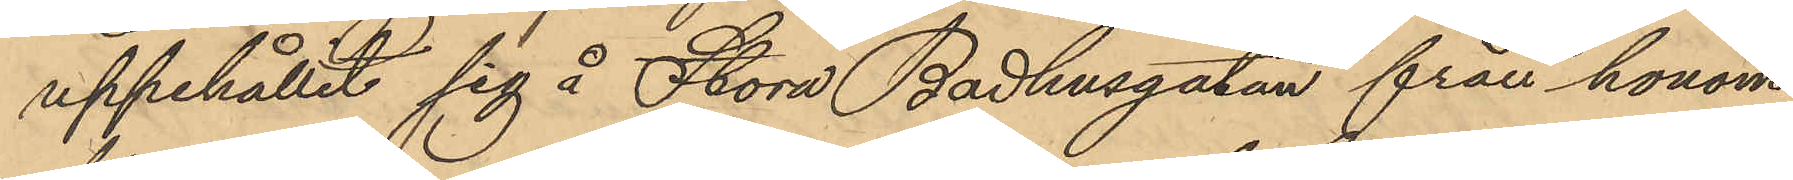uppehållit sig å Stora Badhusgatan från honom
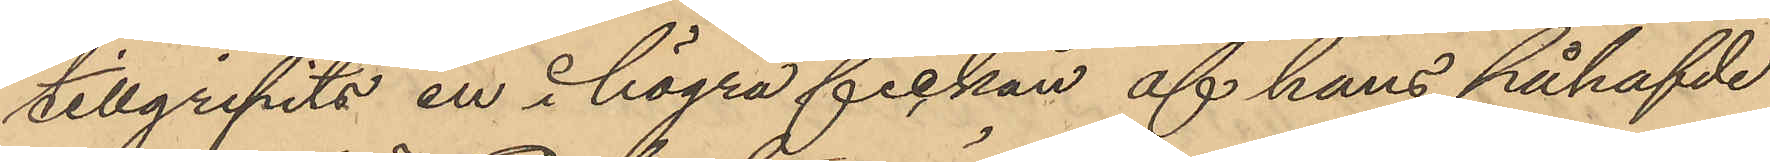tillgripits en å högra fickan af hans påhafvde
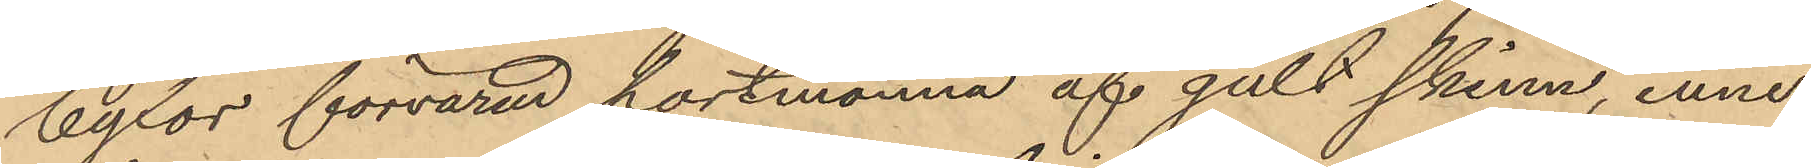byxor förvarad portmonnä af gult skinn, inne¬
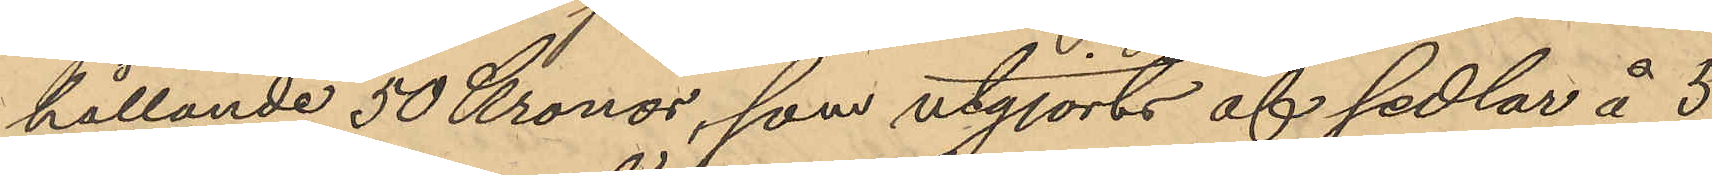hållande 50 Kronor, som utgjorts af sedlar å 3
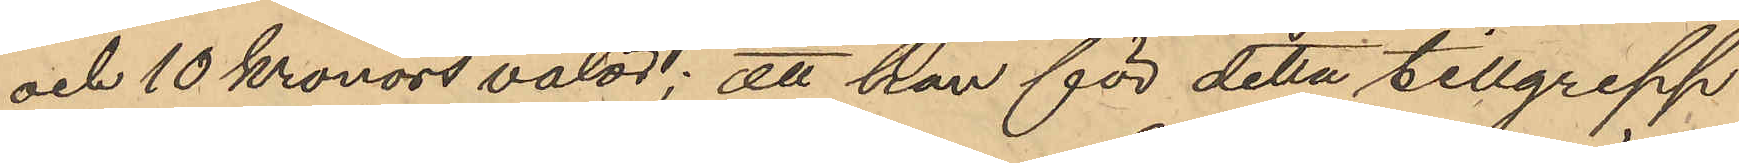och 10 Kronors valör; att han för detta tillgrepp
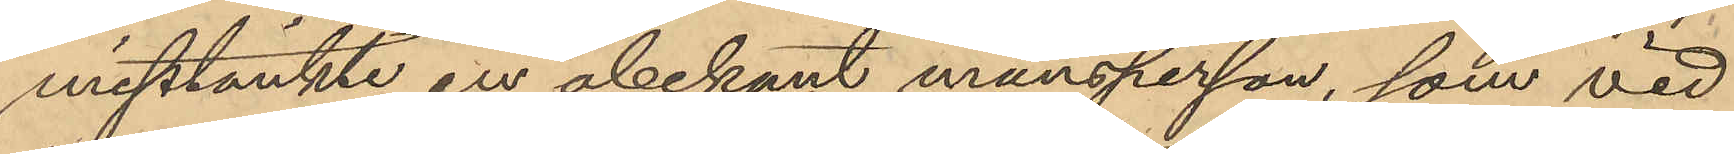misstänkte en obekant mansperson, som vid
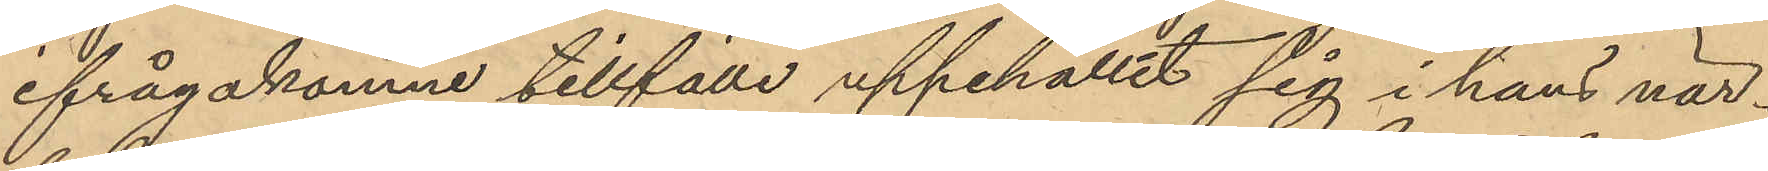ifrågakomne tillfälle uppehållit sig i hans när¬
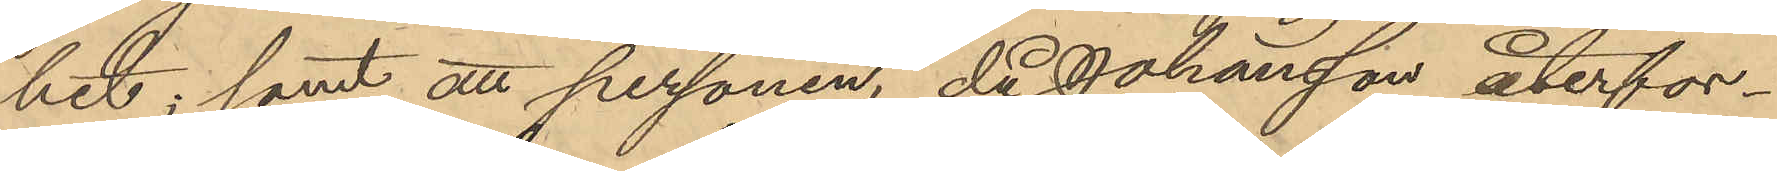het; samt att personen, då Johansson återfor¬
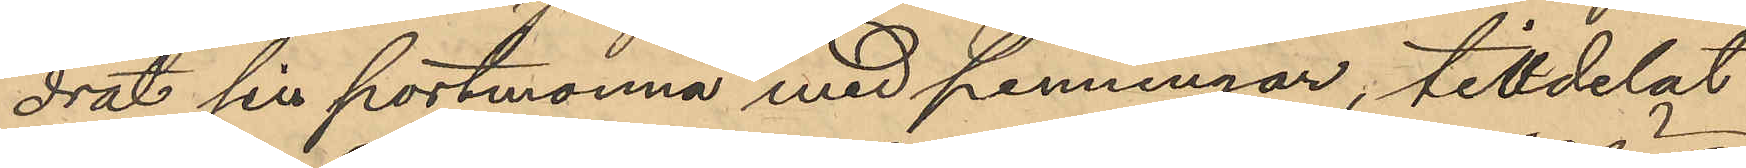drat sin portmonnä med penningar, tilldelat
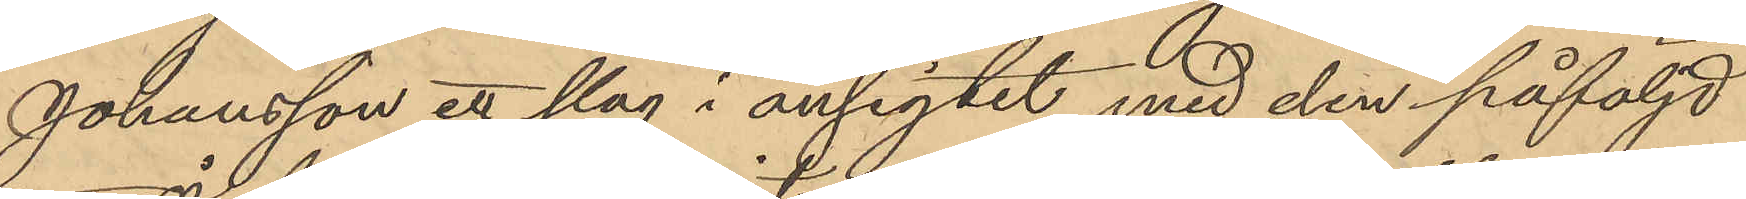Johansson ett slag i ansigtet med den påföljd
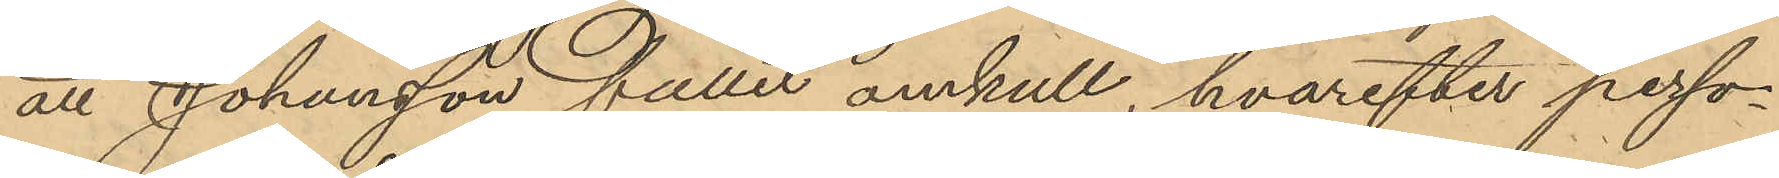att Johansson fallit omkull, hvarefter perso¬
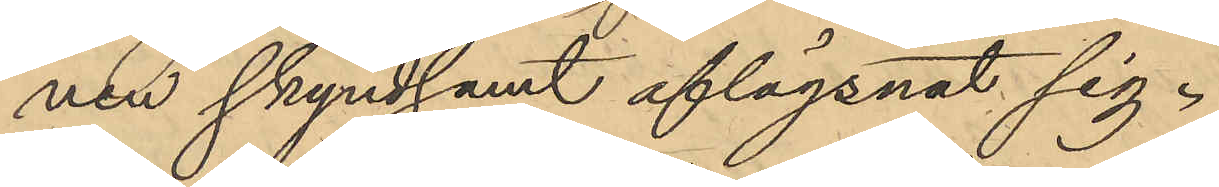nen skyndsamt aflägsnat sig.
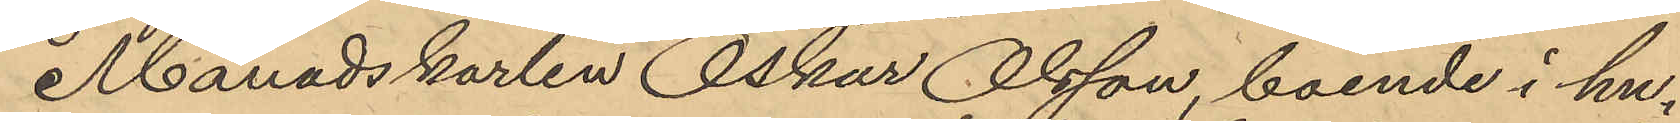Månadskarlen Oskar Olsson, boende i hu¬
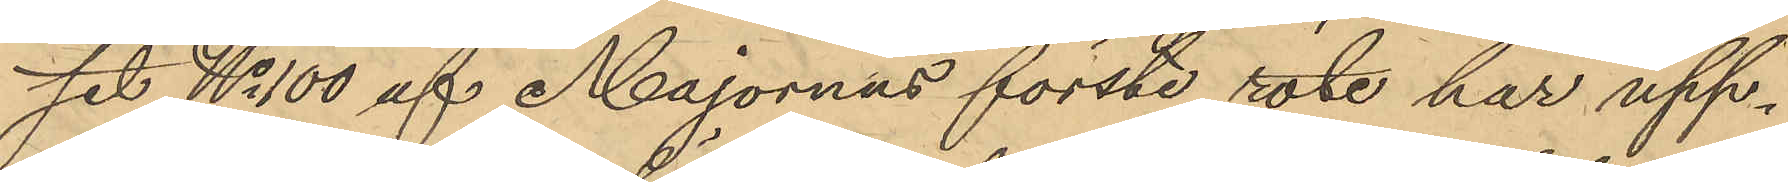set No 100 af Majornas förste rote har upp¬
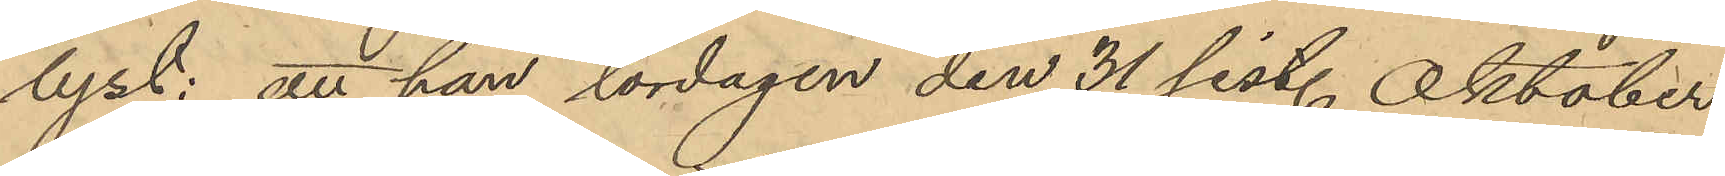lyst: att han lördagen den 31 sist. Oktober
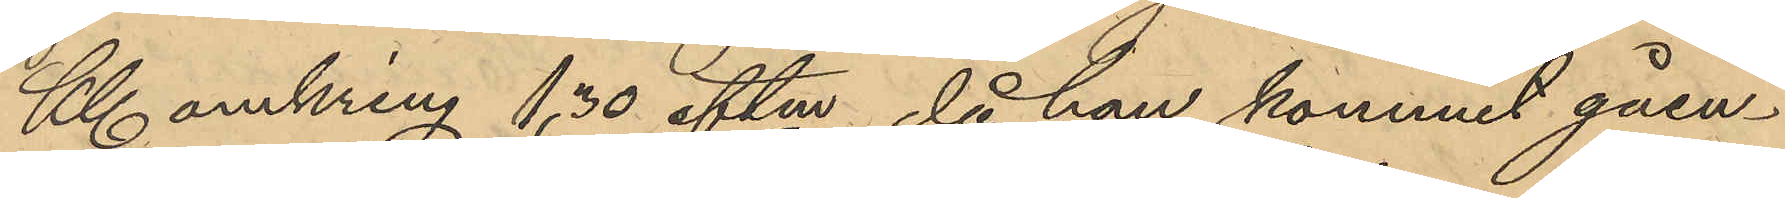Kl omkring 1,30 eftm, då han kommit gåen¬
